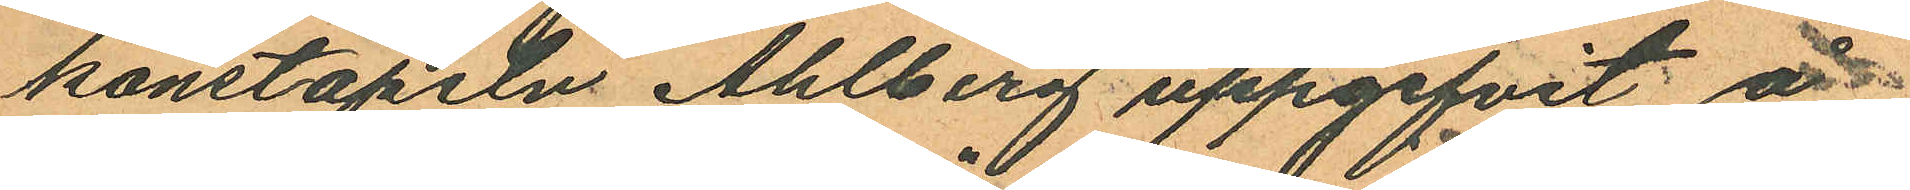konstapeln Ahlberg uppgifvit å
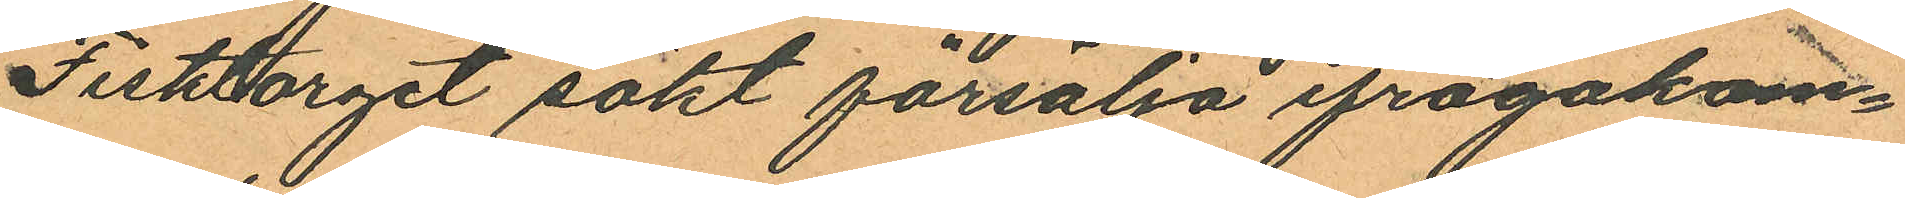Fisktorget sökt försälja ifrågakom¬
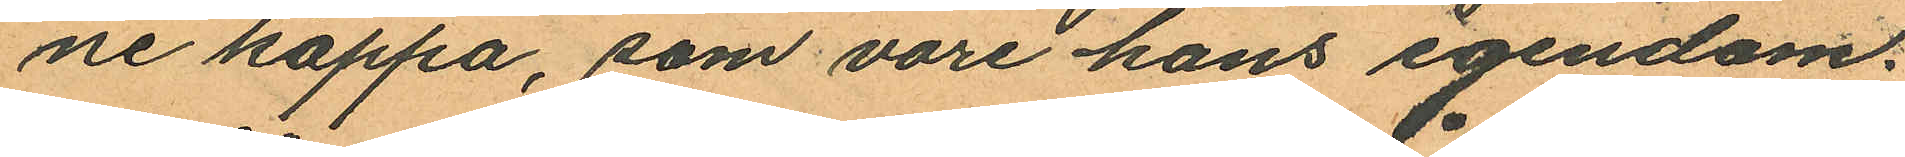ne kappa, som vore hans egendom:
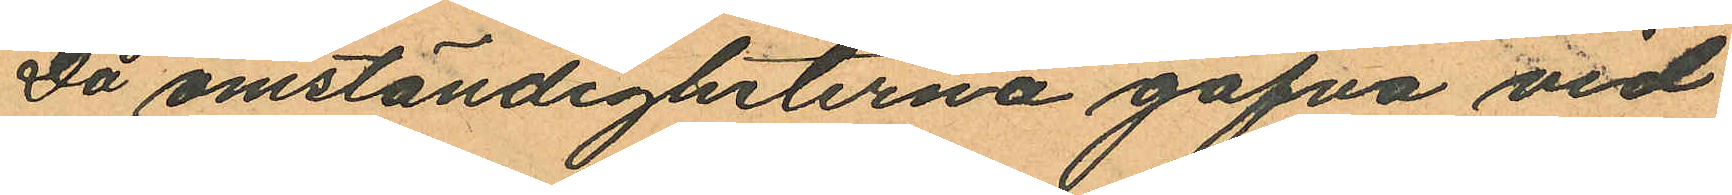Då omständigheterna gåfva vid
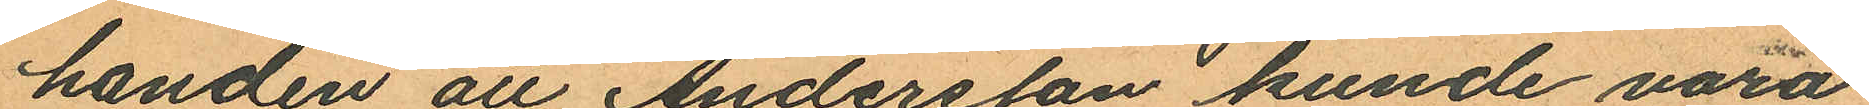handen att Andersson kunde vara
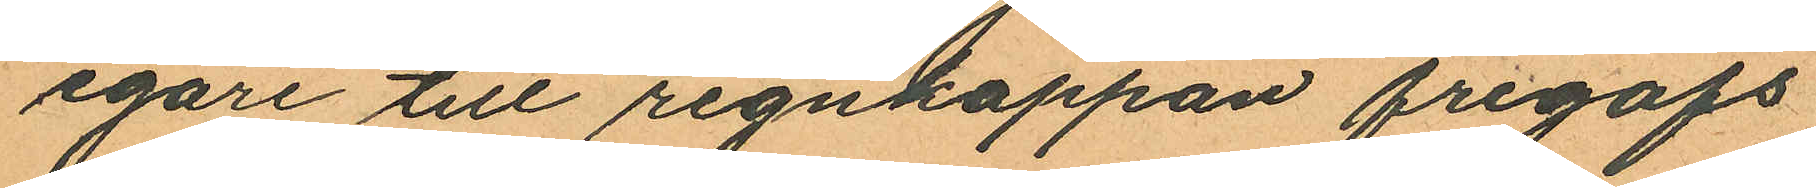egare till regnkappan frigafs
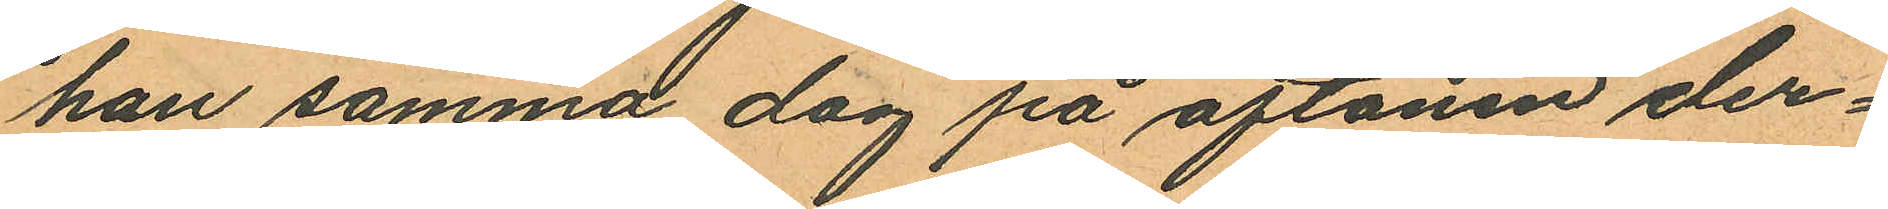han samma dag på aftonen der¬
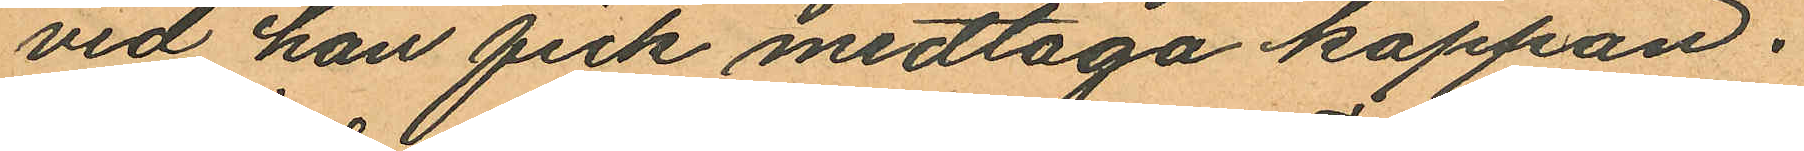vid han fick medtaga kappan.
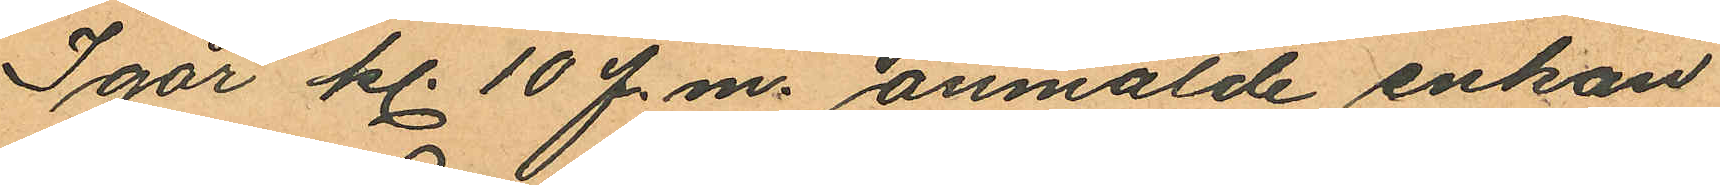Igår kl. 10 f.m. anmälde enkan
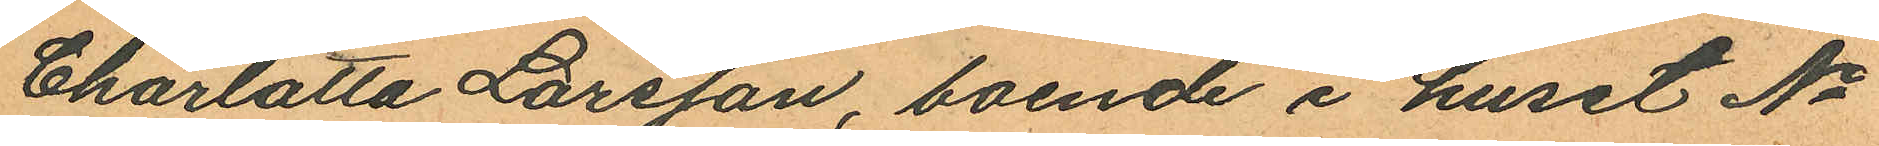Charlotta Larsson, boende i huset No
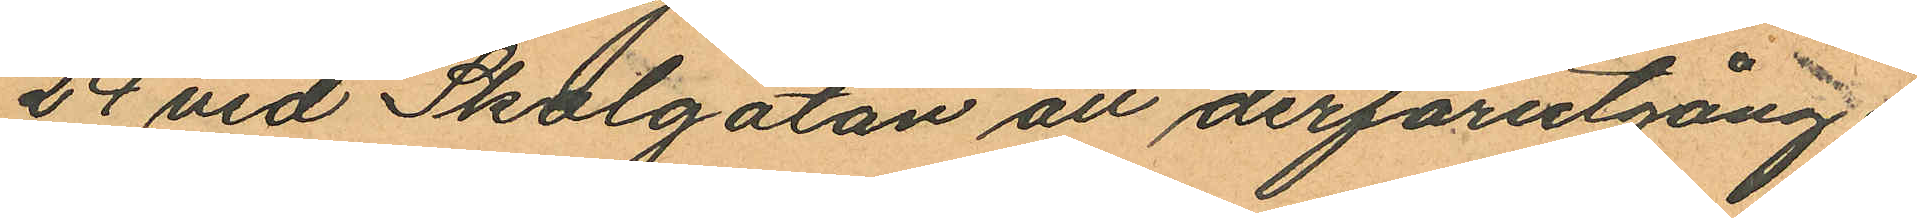24 vid Skolgatan att derförutgång¬
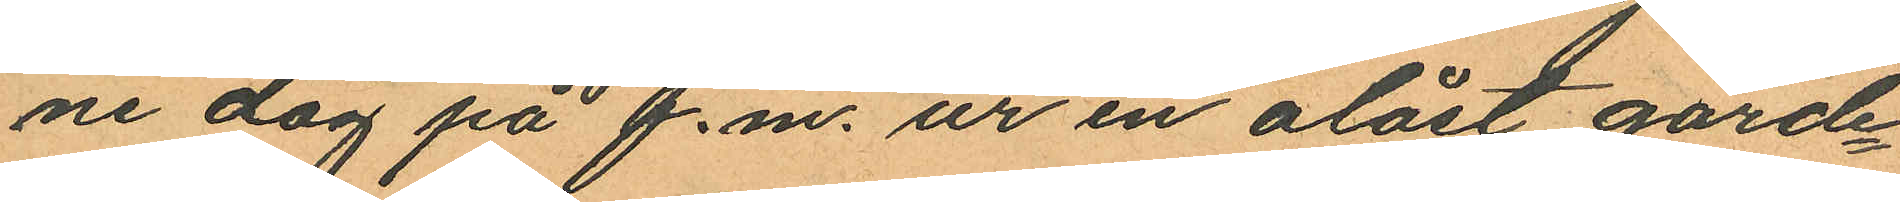ne dag på f.m. ur en olåst garde¬
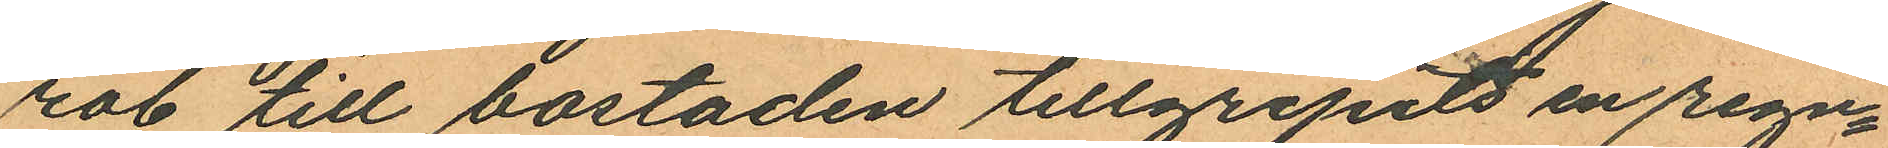rob till bostaden tillgripits en regn¬
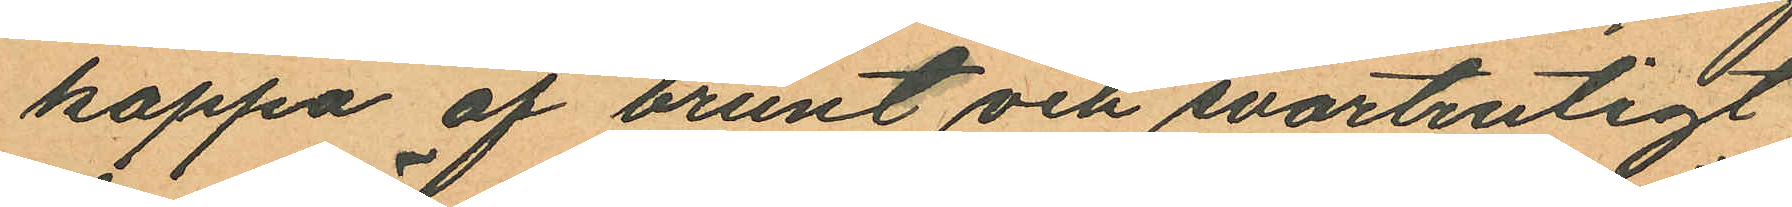kappa af brunt och svartrutigt
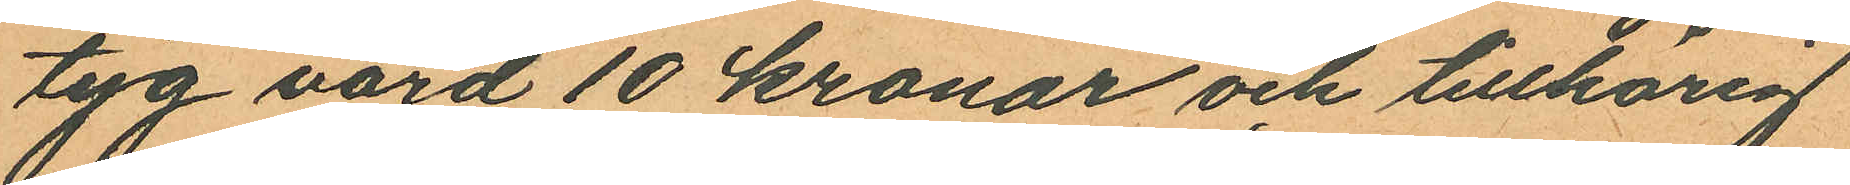tyg värd 10 kronor och tillhörig
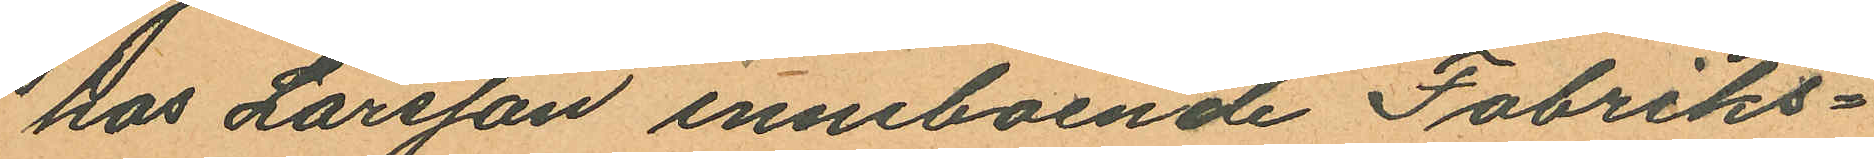hos Larsson inneboende Fabriks¬
